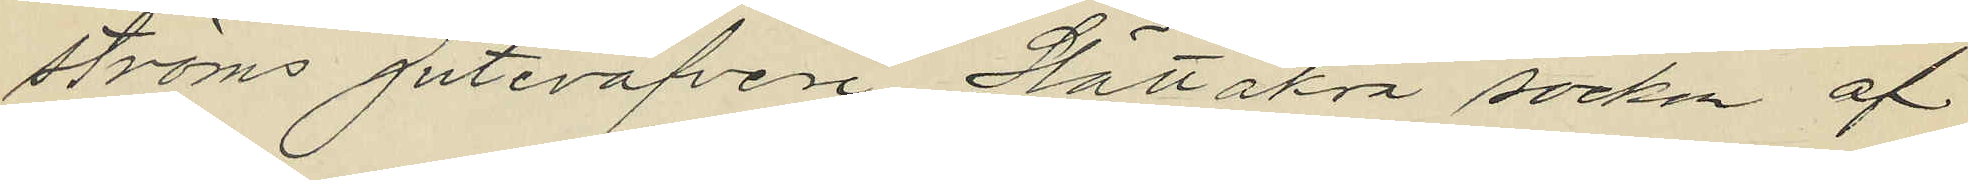ströms juteväfveri Slättåkra socken af
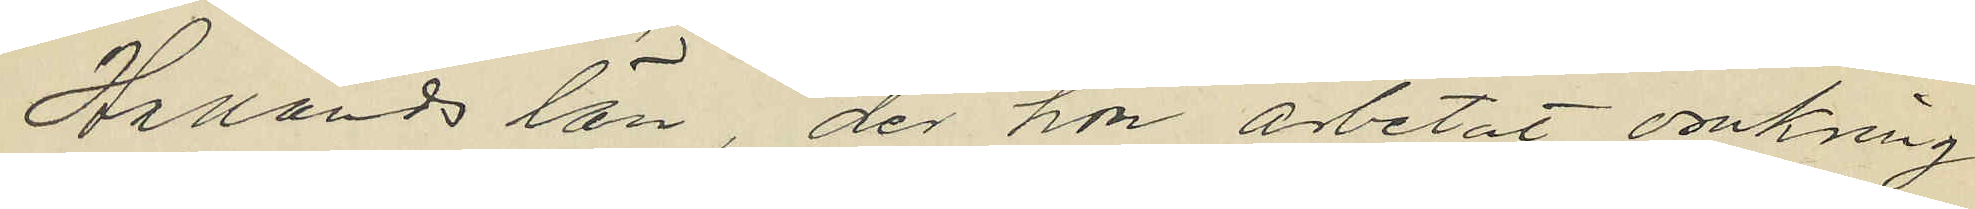Hallands län, der hon arbetat omkring
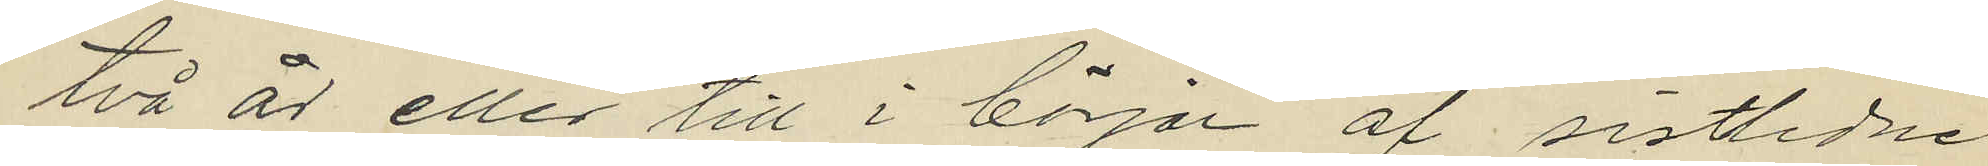två år eller till i början af sistlidne
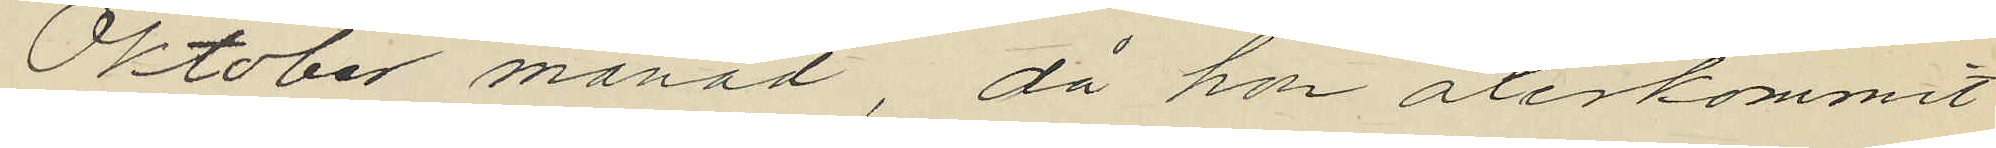Oktober månad, då hon återkommit
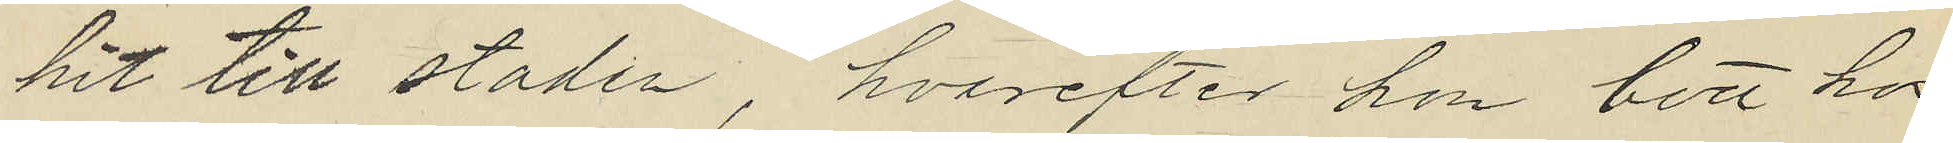hit till staden, hvarefter hon bott hos
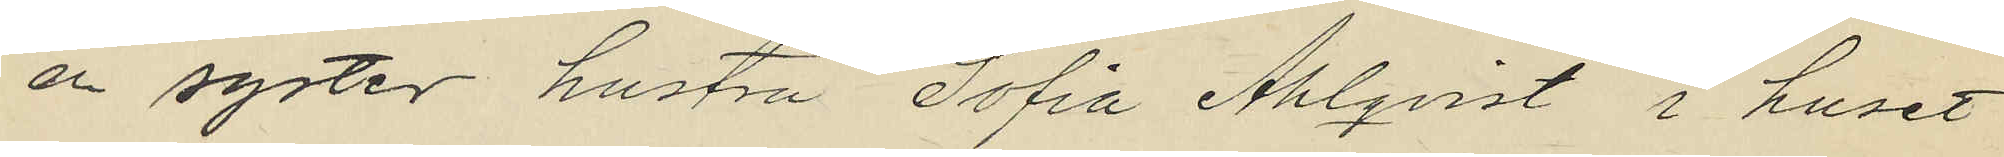en syster hustru Sofia Ahlqvist i huset
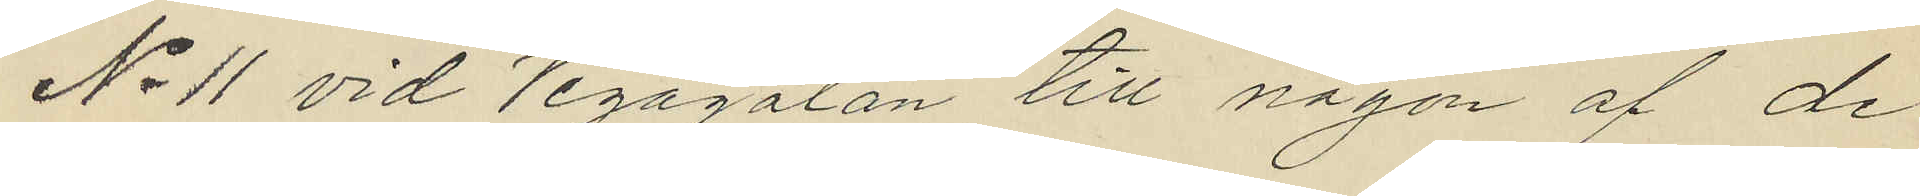No 11 vid Vegagatan till någon af de
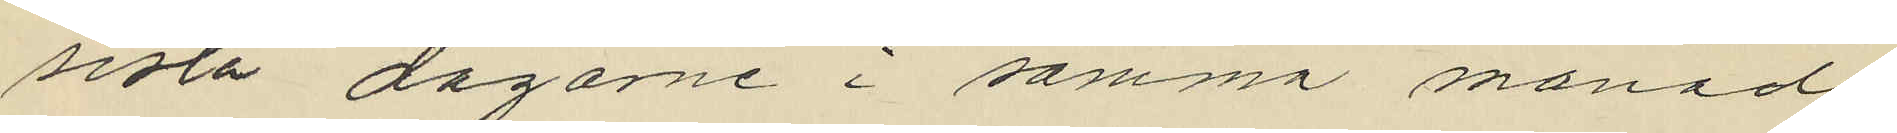sista dagarne i samma månad,
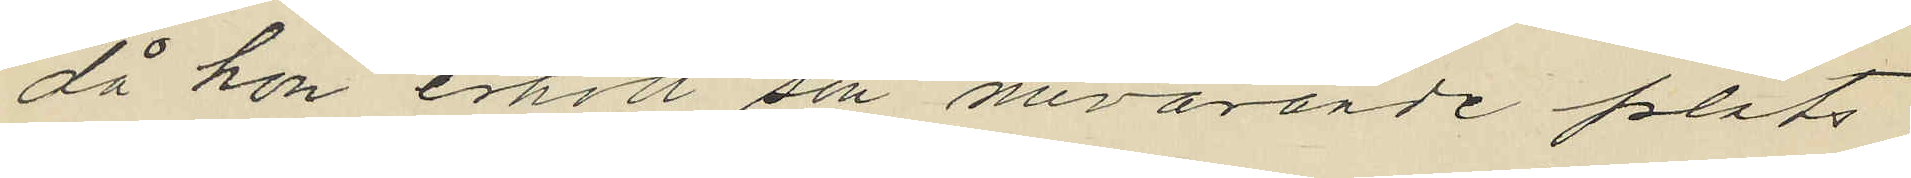då hon erhöll sin nuvarande plats
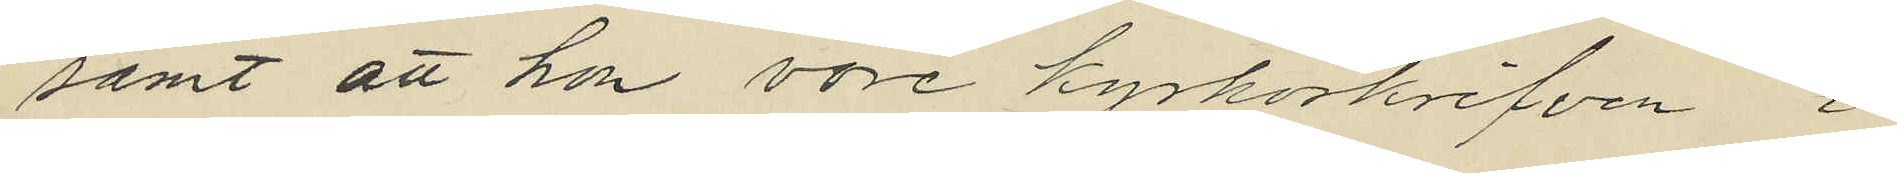samt att hon vore kyrkoskrifven i
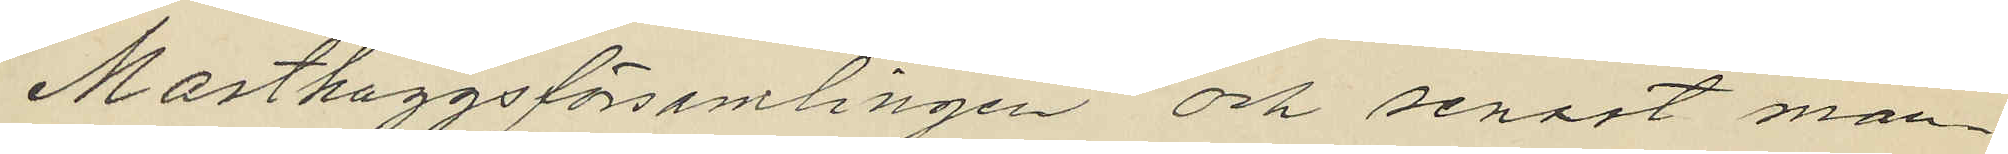Masthuggsförsamlingen och senast man¬
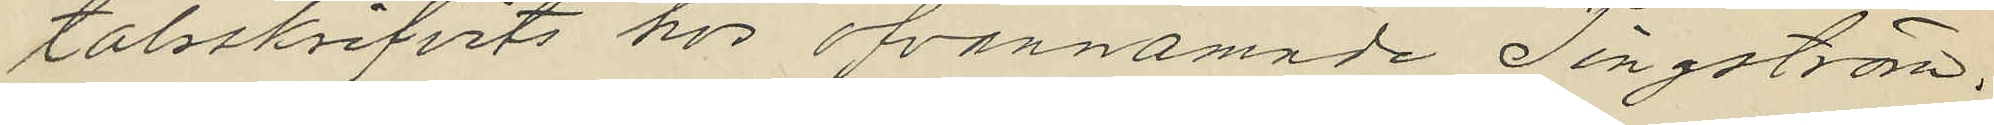talsskrifvits hos ofvannämnde Tingström.
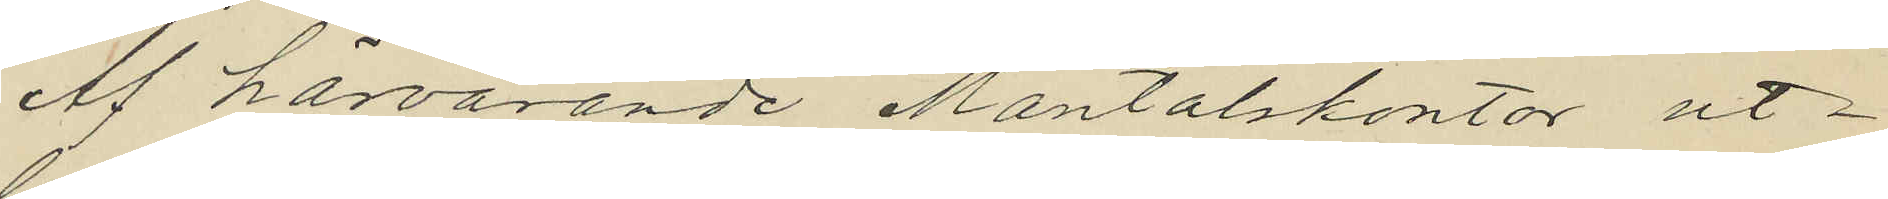Af härvarande Mantalskontor ut¬
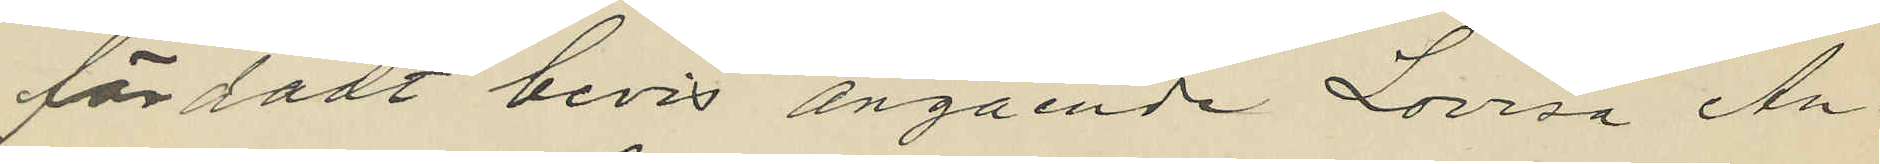färdadt bevis angående Lovisa An¬
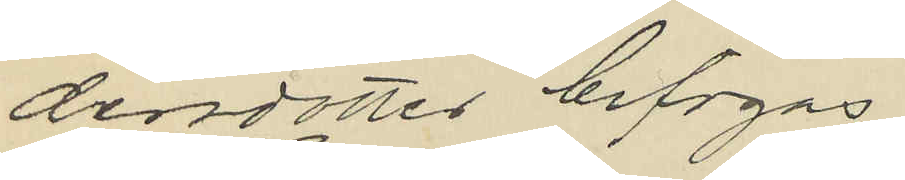dersdotter bifogas.
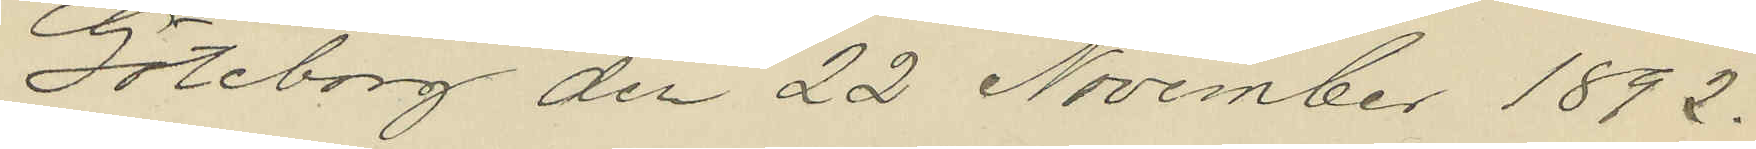Göteborg den 22 November 1892.
